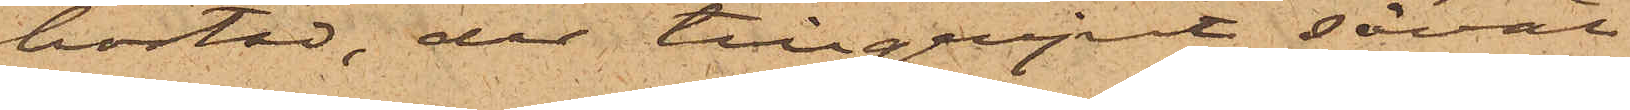bostad, der tillgripit såväl
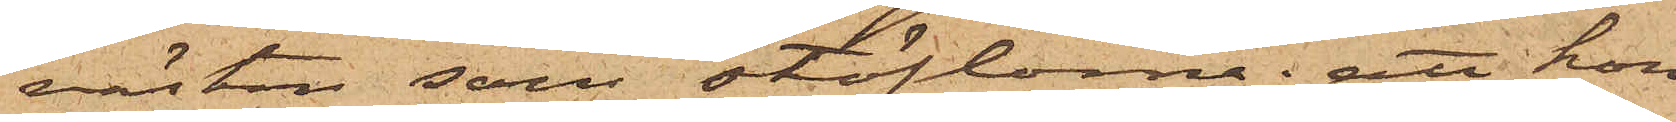västen som stöflorna; att hon
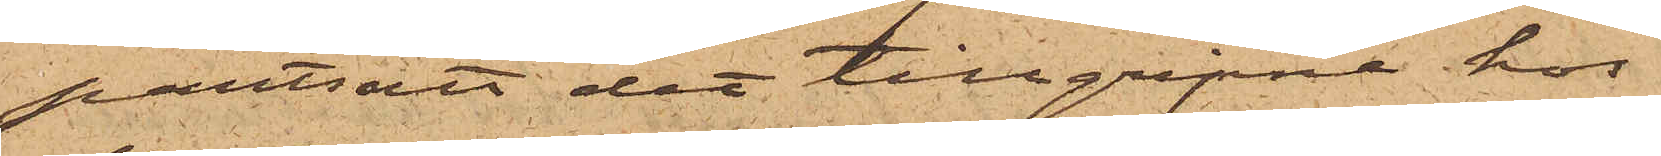pantsatt det tillgripne hos
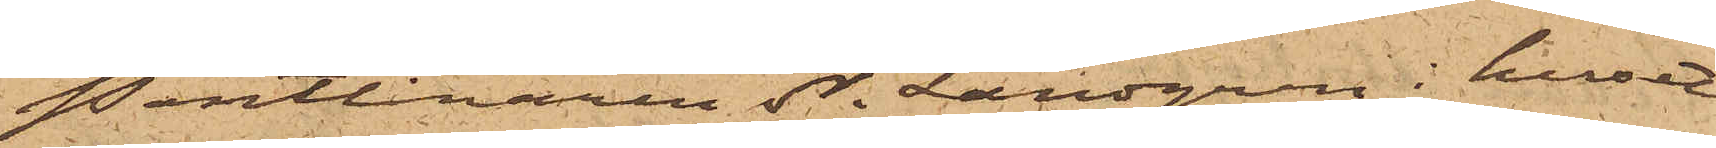Pantlånaren N. Landgren i huset
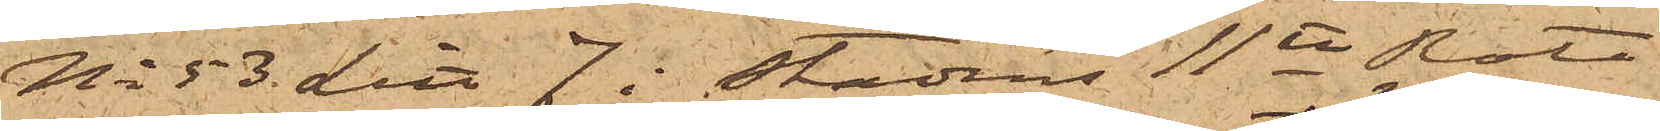No 53 Litt J i Stadens 11te Rote
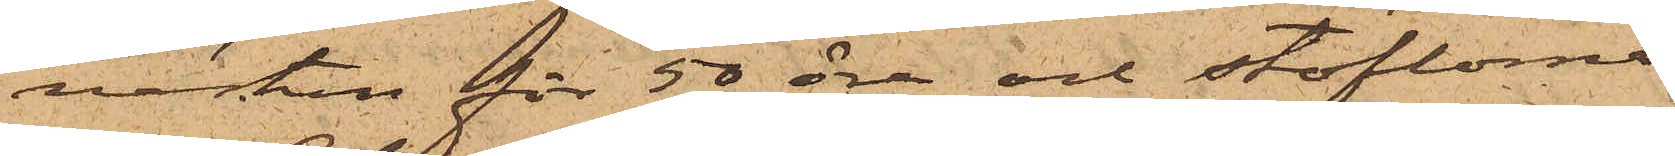västen för 50 öre och stöflorna
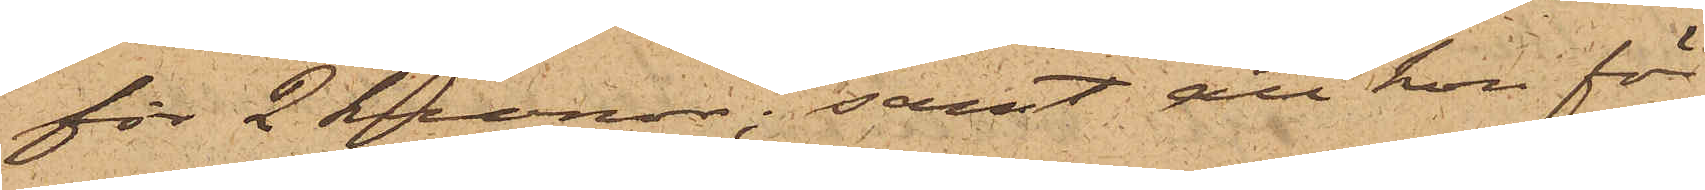för 2 Kronor; samt att hon för
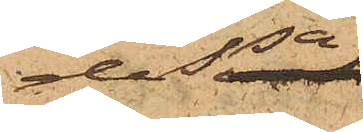dessa
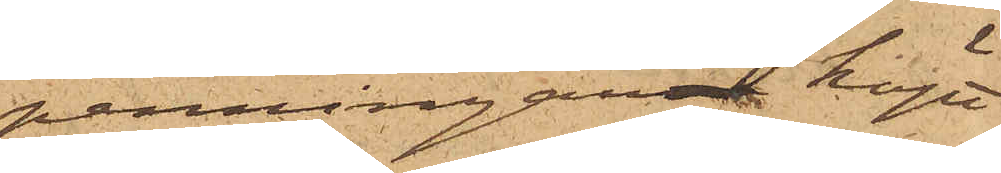penningarna köpt
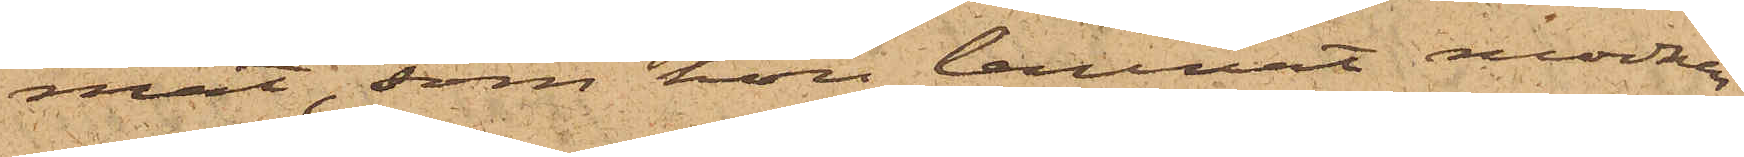mat, som hon lämnat modern,
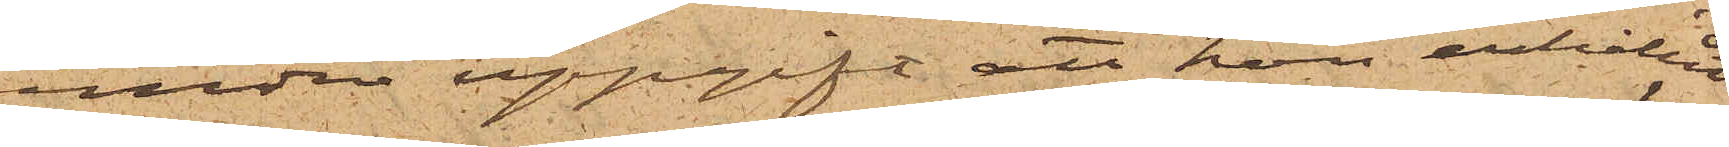under uppgift att hon erhållit
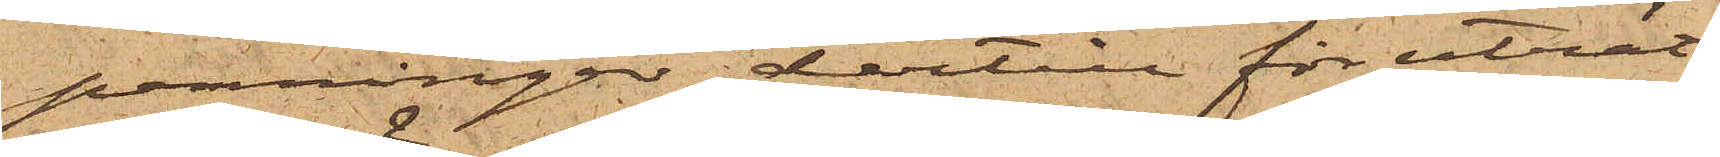penningar dertill för uträt¬
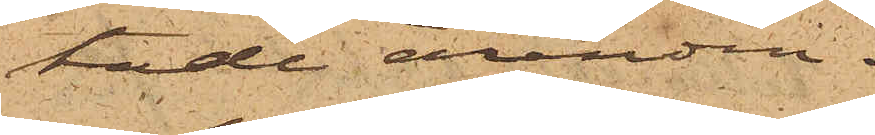tade ärenden.
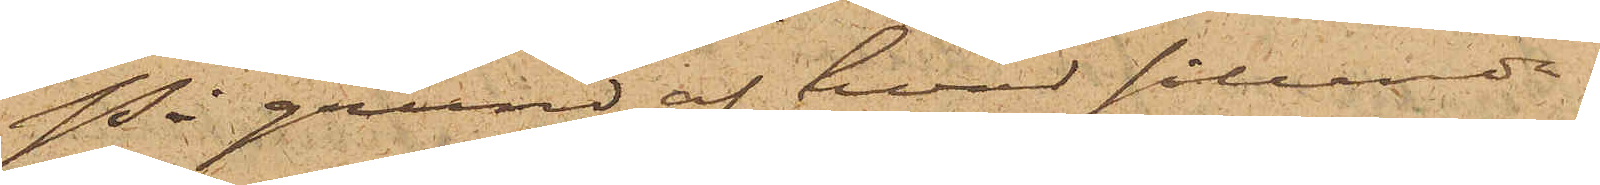På grund af hvad sålunda
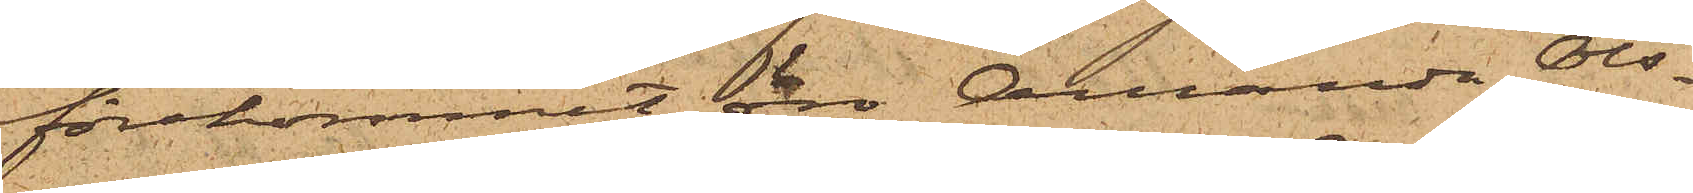förekommit, äro Amanda Ols¬
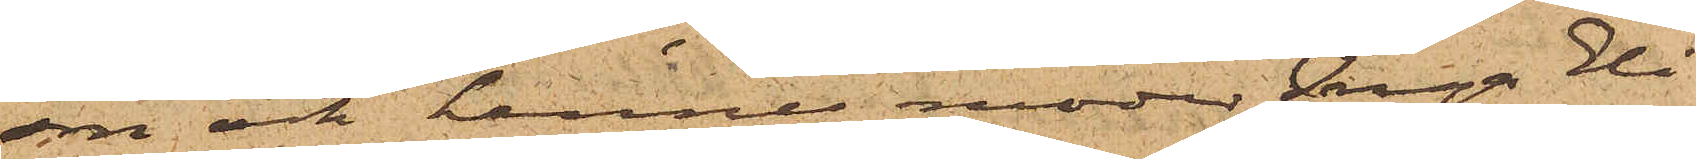son och hennes moder Inga Eli¬
